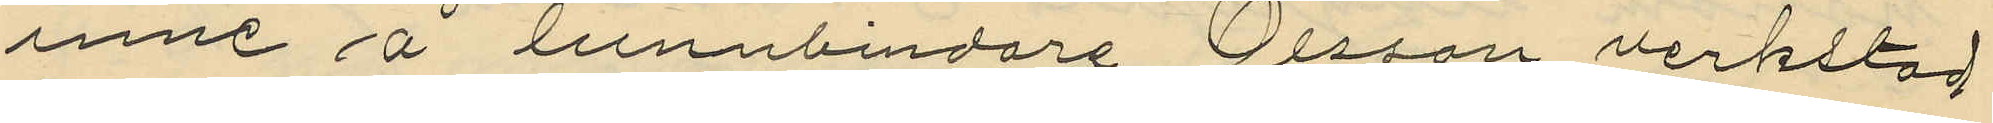inne å tunnbindare Olsson verkstad
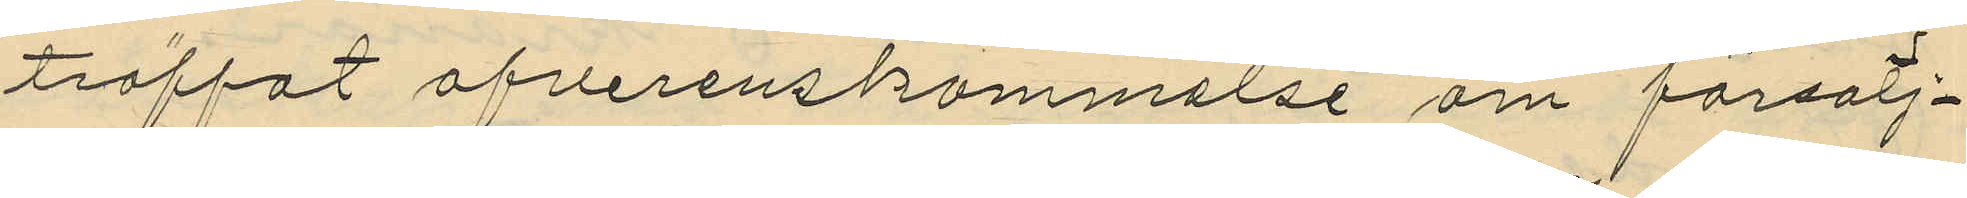träffat öfverenskommelse om försälj¬
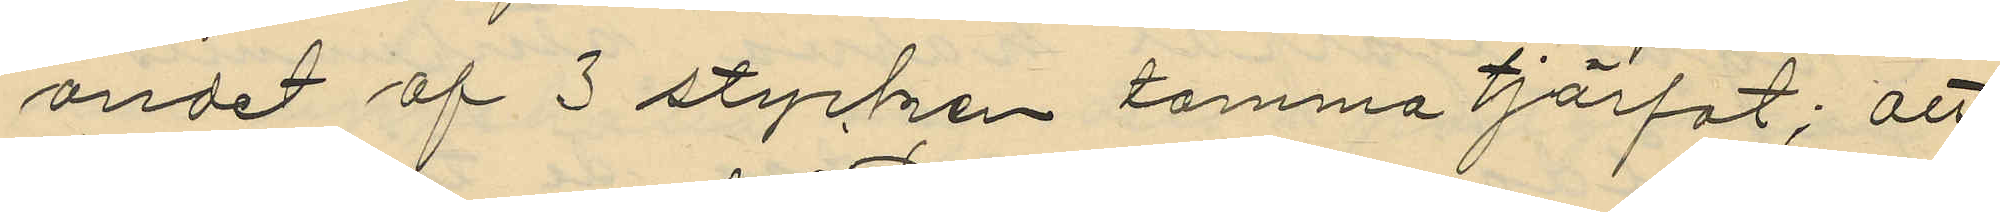andet af 3 stycken tomma tjärfat; att
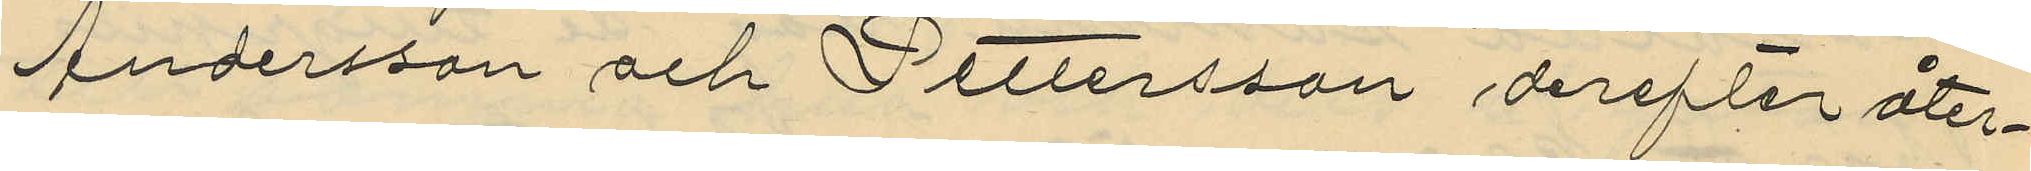Andersson och Pettersson derefter åter¬
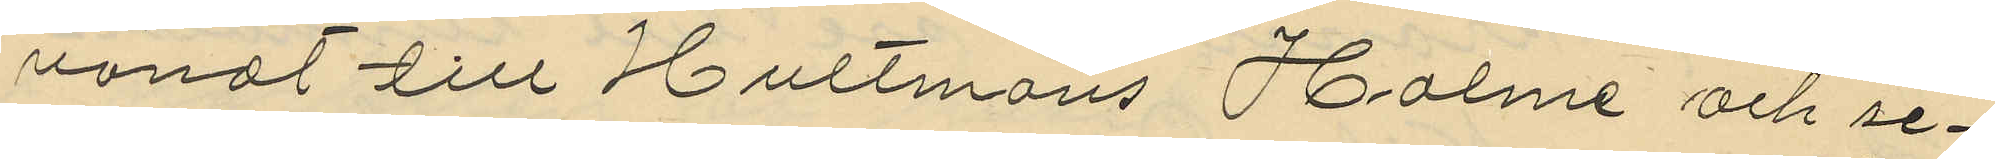vändt till Hultmans Holme och se¬
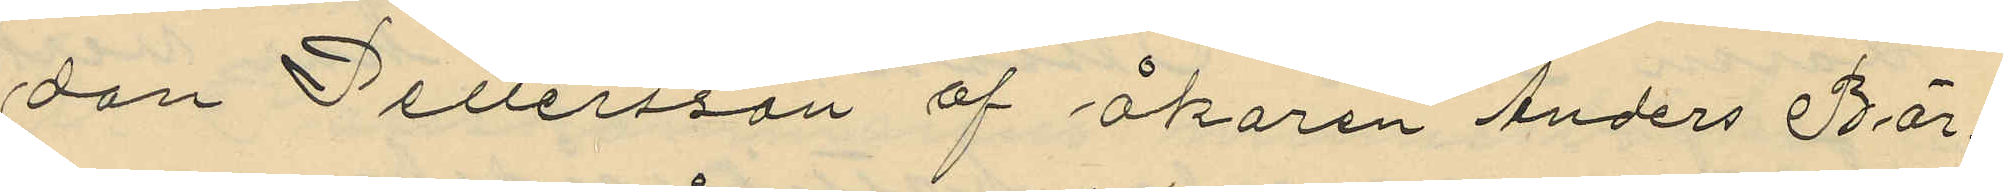dan Pettersson af åkaren Anders Bör¬
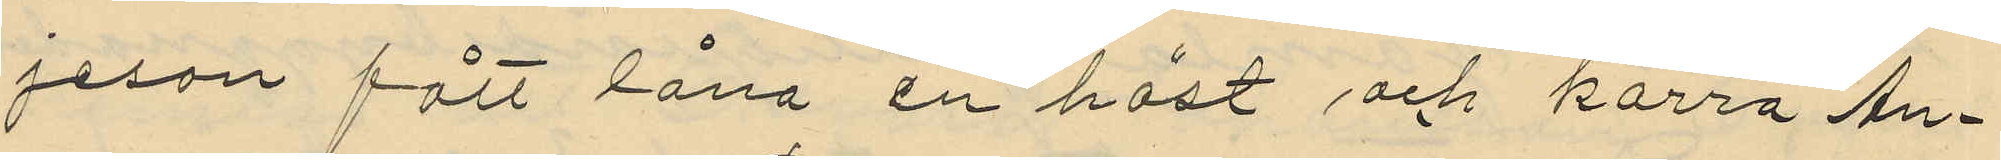jeson fått låna en häst och kärra An¬
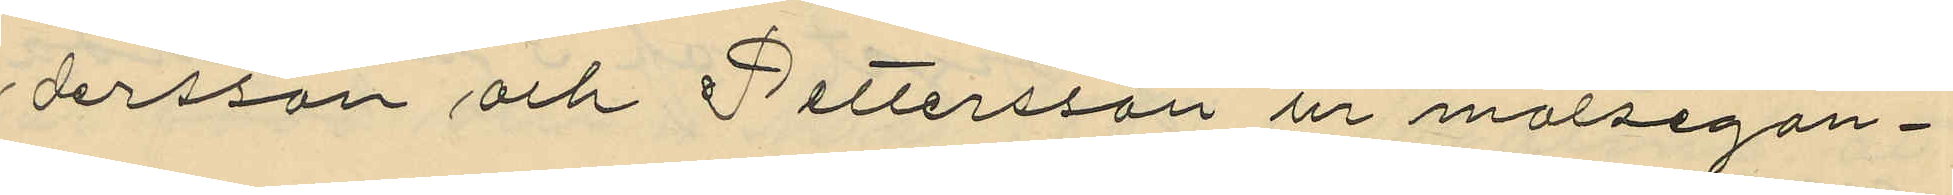dersson och Pettersson ur målsegan¬
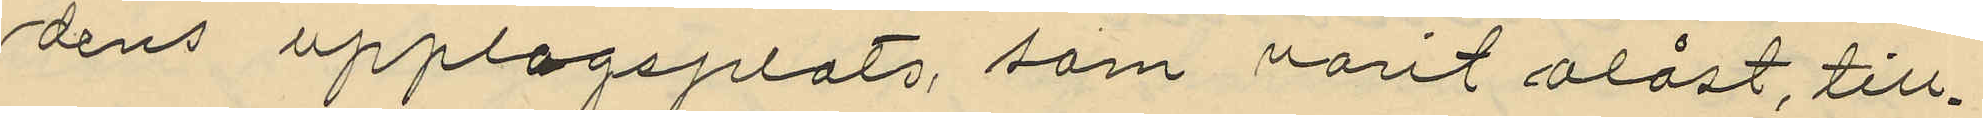dens upplagsplats, som varit olåst, till¬
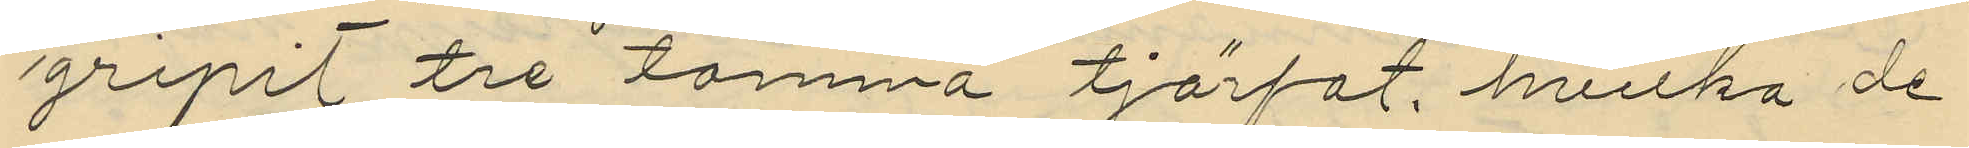gripit tre tomma tjärfat, hvilka de
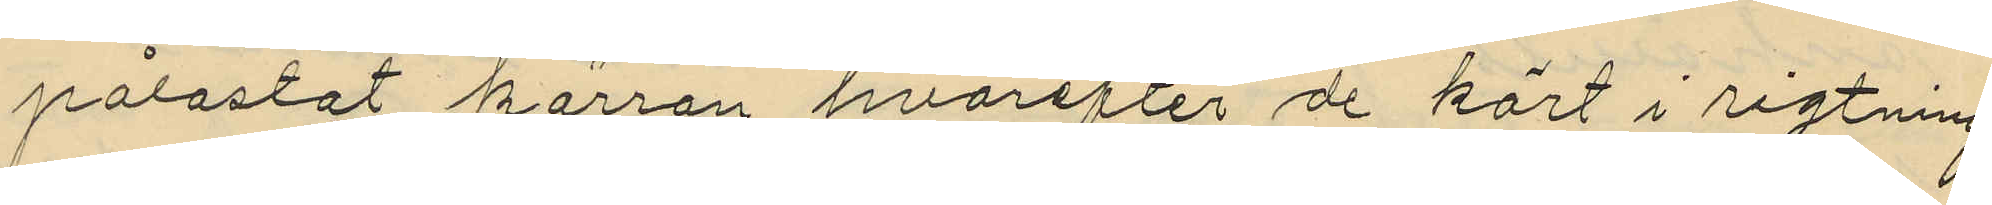pålastat kärran hvarefter de kört i rigtning
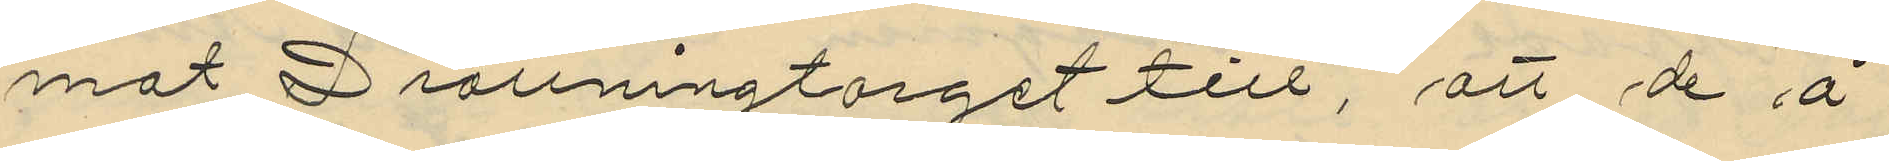mot Drottningtorget till, att de å
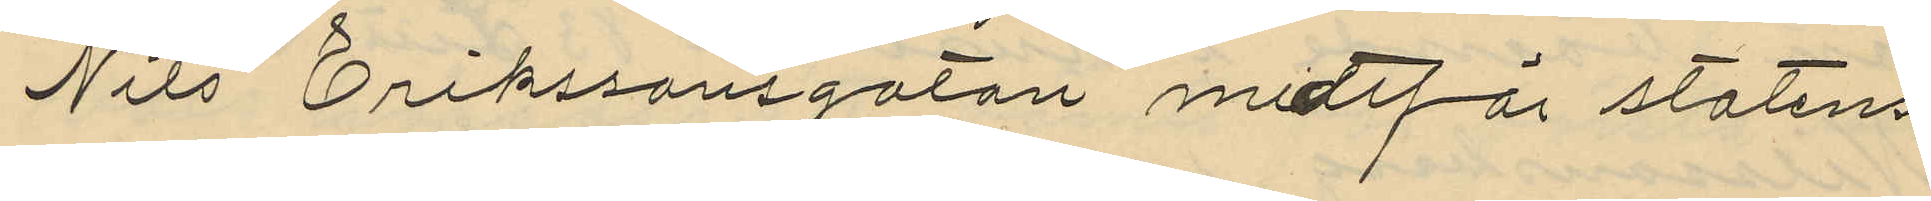Nils Erikssonsgatan midtför statens
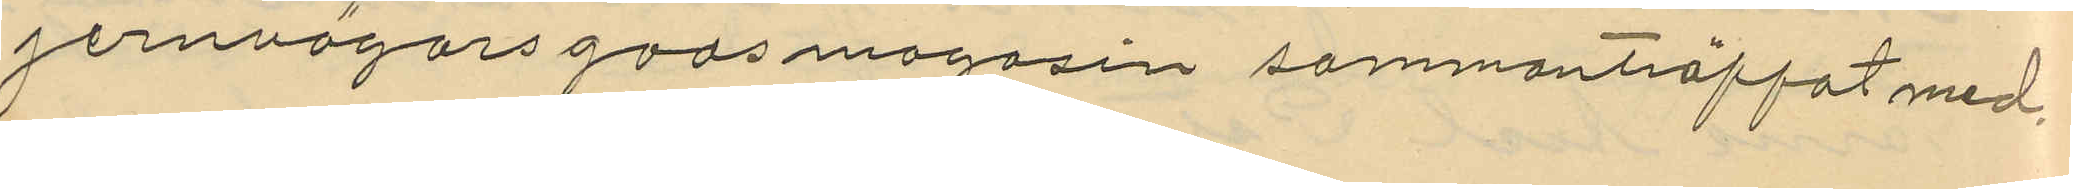jernvägarsgodsmagasin sammanträffat med
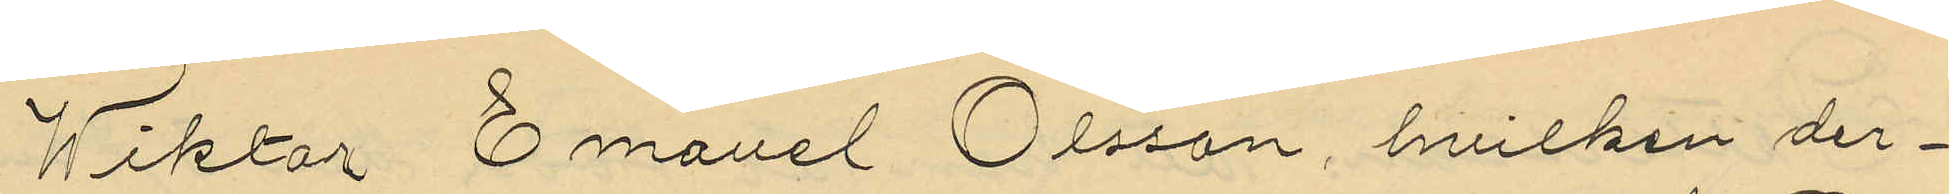Wiktor Emanel Olsson, hvilken der¬
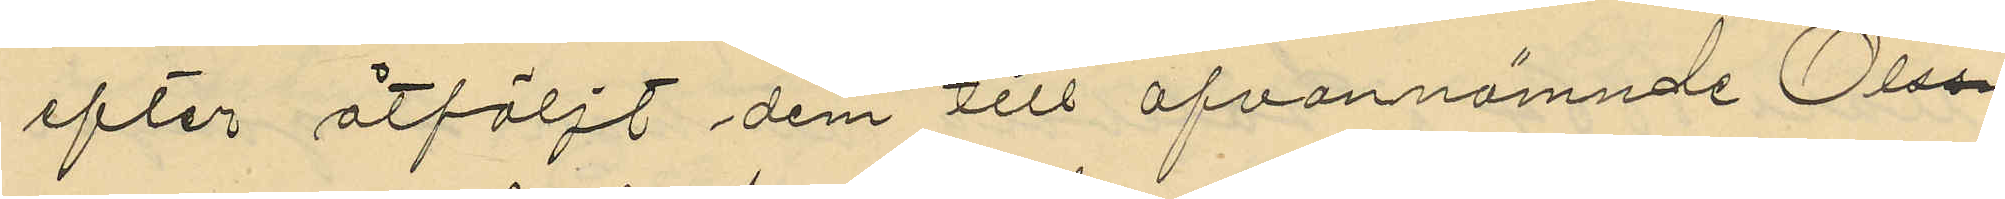efter åtföljt dem till ofvannämnde Ols¬
